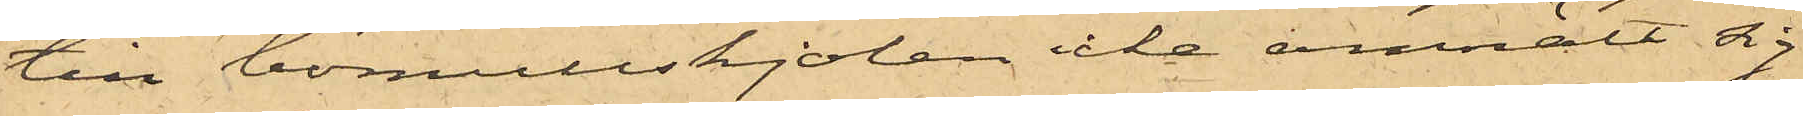till bomullskjolen icke anmält sig.
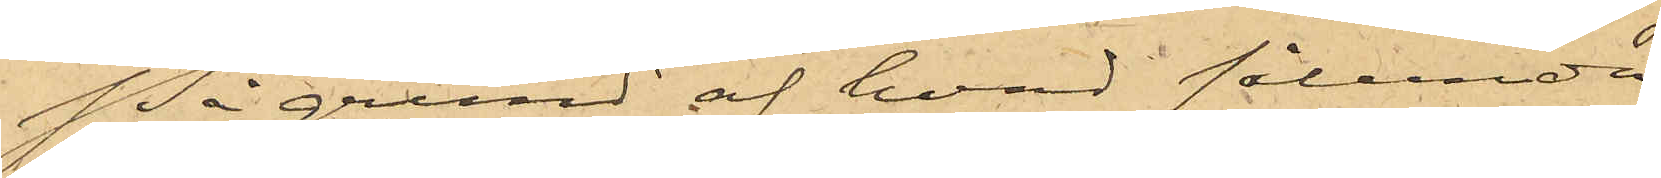På grund af hvad sålunda
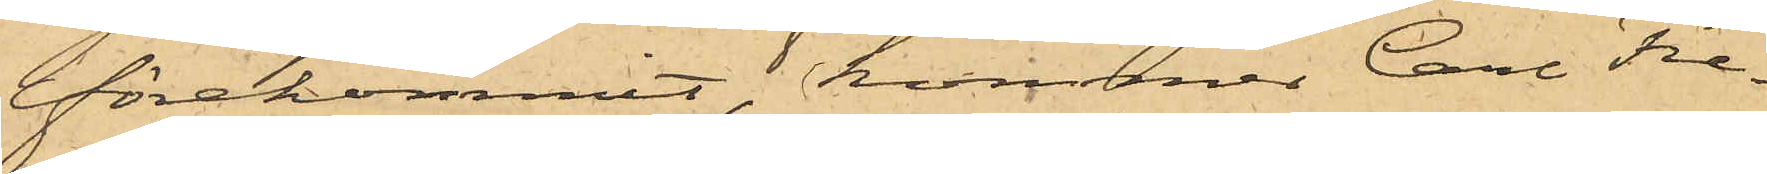förekommit, kommer Carl Fre¬
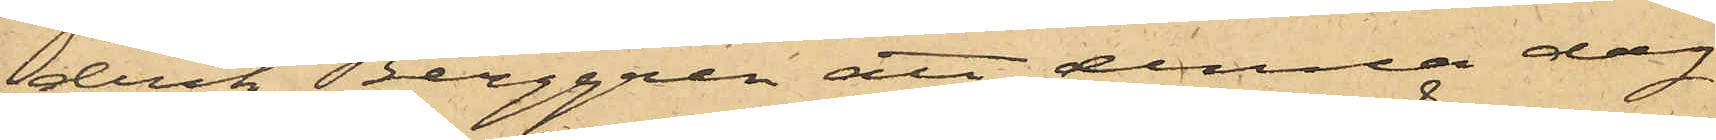drik Berggren att denna dag
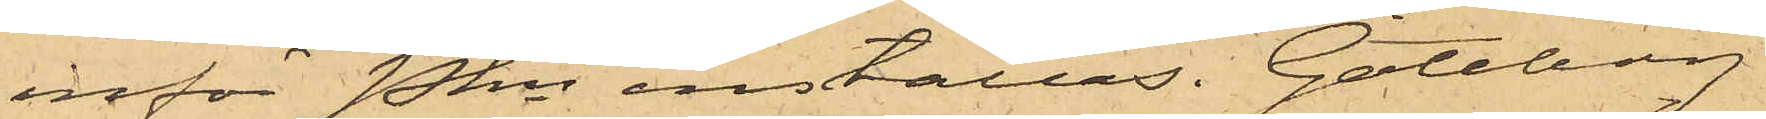inför Pkn inställas. Göteborg
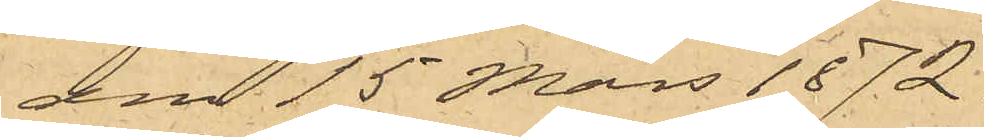den 15 Mars 1872.
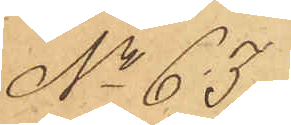No 65
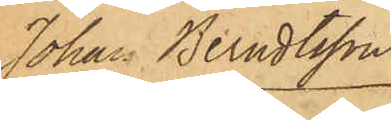Johan Berndtsson.
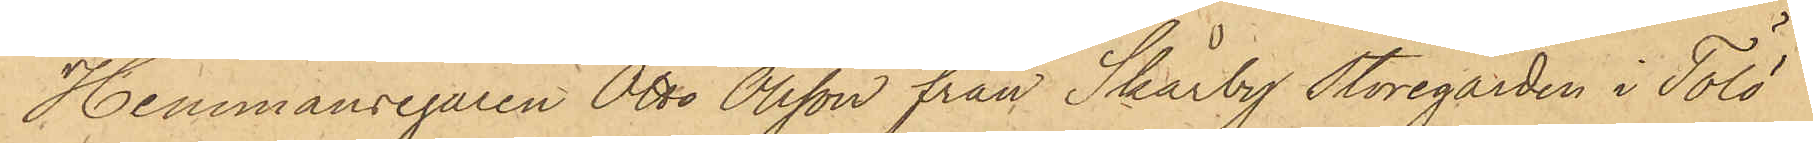Hemmansegaren Otto Olsson från Skårby Storegården i Tölö
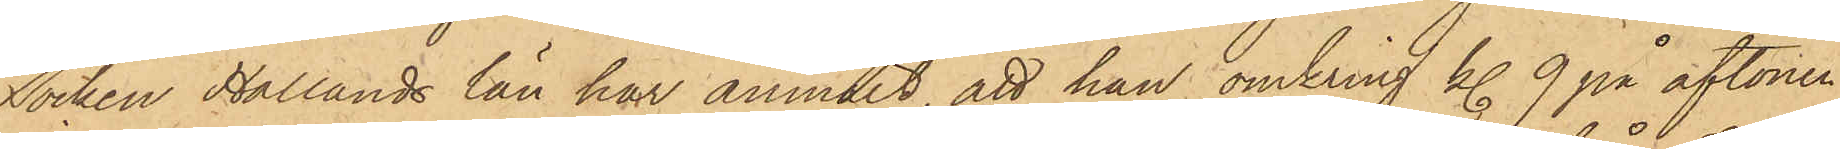Socken Hallands län har anmält, att han omkring kl. 9 på aftonen
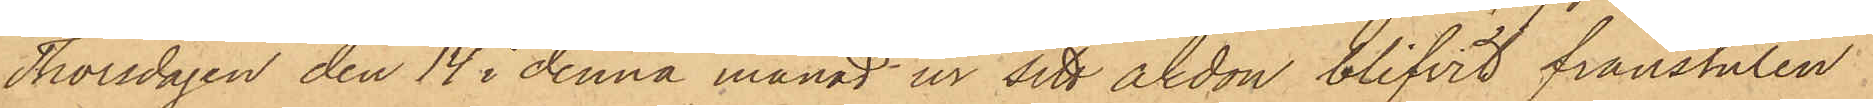Thorsdagen den 14 i denna månad ur sitt åkdon blifvit frånstulen
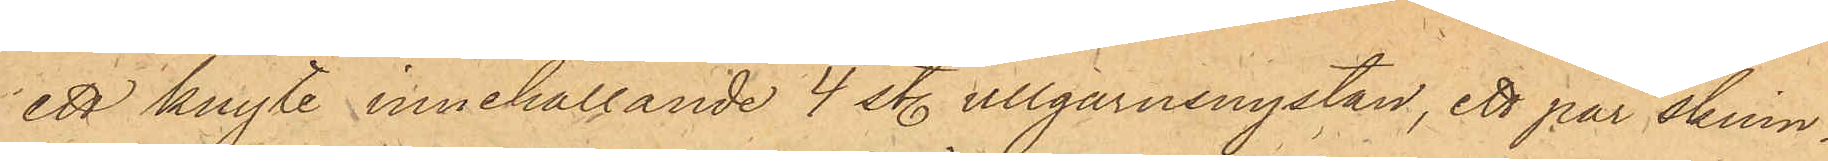ett knyte innehållande 4 st. ullgarnnystan, ett par skinn¬
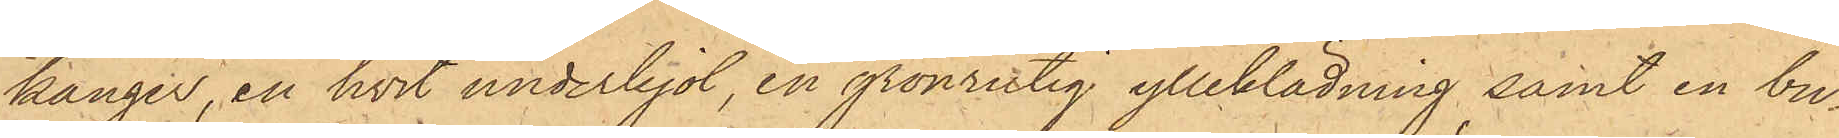känger, en hvit underkjol, en grönrutig ylleklädning samt en bu¬
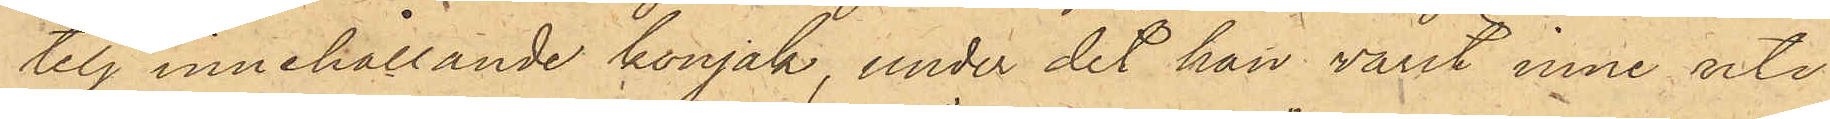telj innehållande konjak, under det han varit inne uti
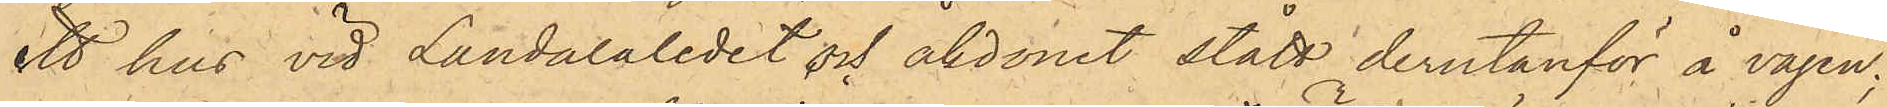ett hus vid Landalaledet och åkdonet stått derutanför å vägen;
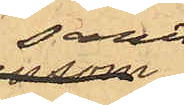samt
